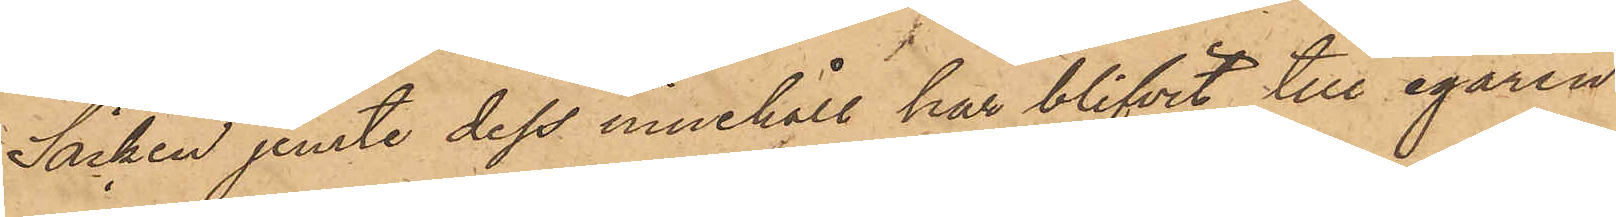Säcken jemte dess innehåll har blifvit till egaren
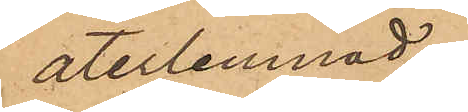återlemnad.
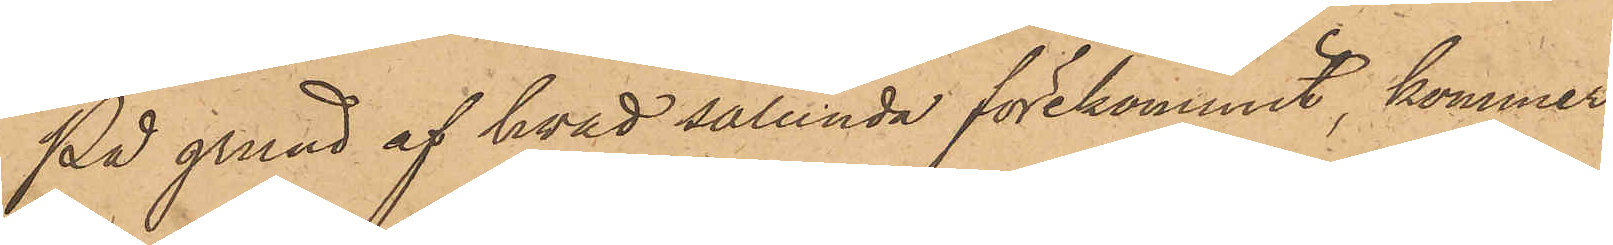På grund af hvad sålunda förekommit, kommer
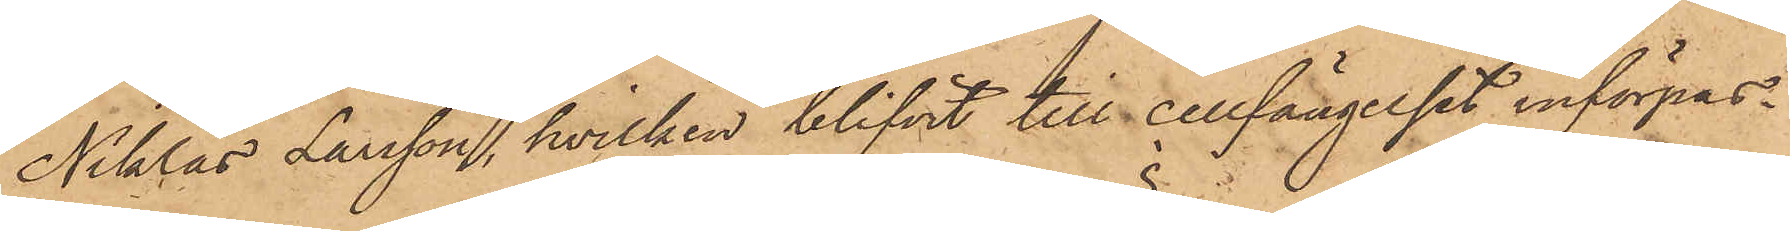Niklas Larsson, hvilken blifvit till cellfängelset införpas¬
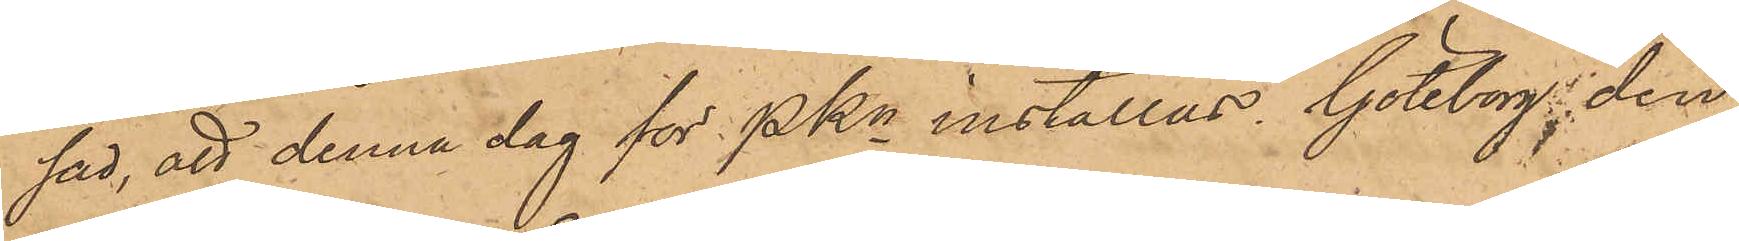sad, att denna dag för PKn inställas. Göteborg den
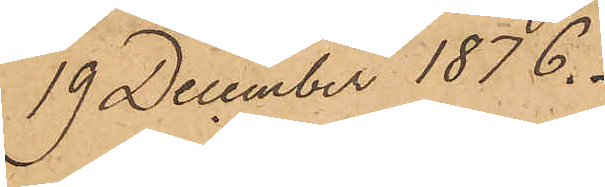19 December 1876.
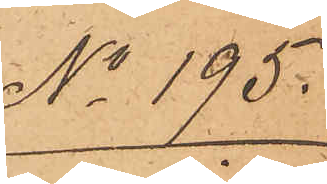No 195.
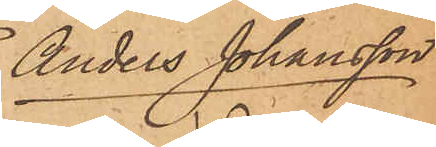Anders Johansson
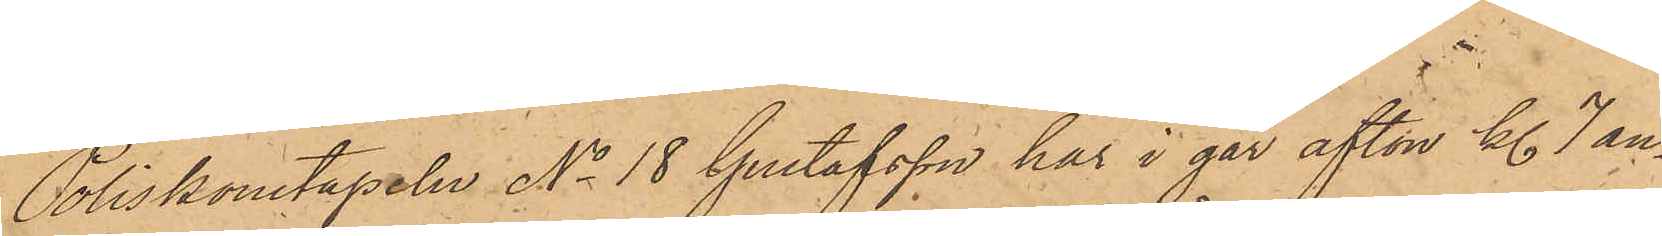Poliskonstapeln No 18 Gustafsson har i går afton Kl. 7 an¬
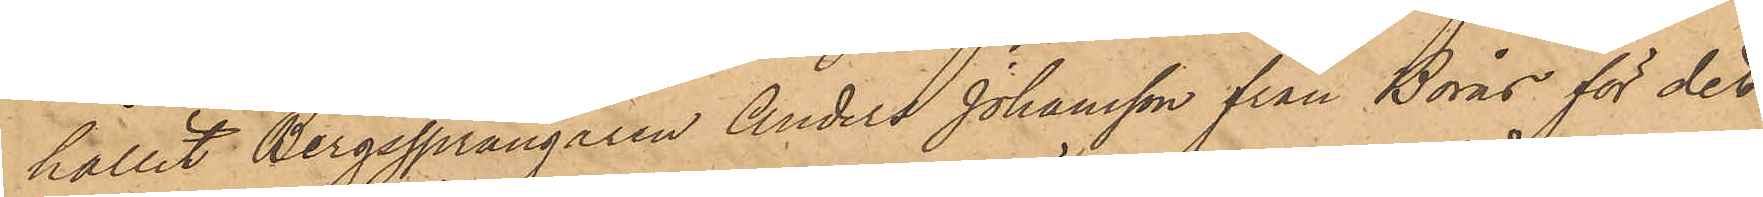hållit Bergssprängaren Anders Johansson från Borås för det
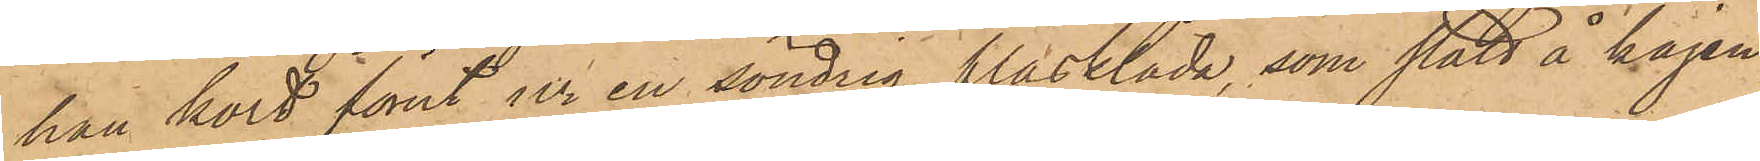han kort förut ur en söndrig fläsklåda, som stått å kajen
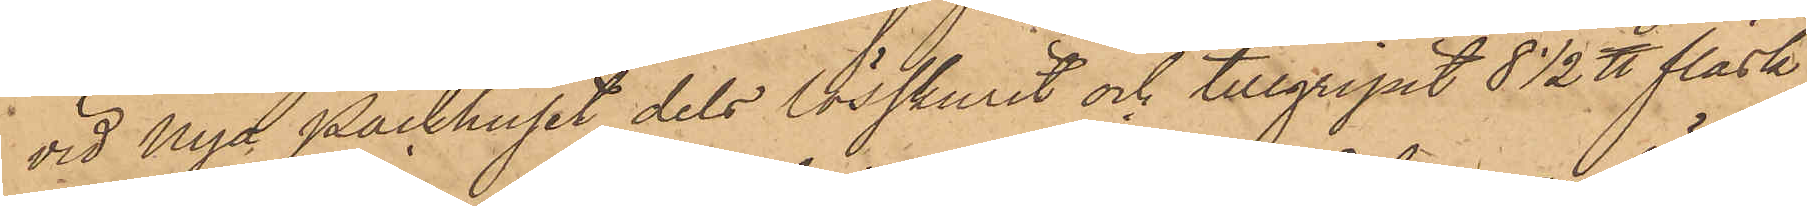vid Nya Packhuset dels lösskurit och tillgripit 8½ ℔ fläsk,
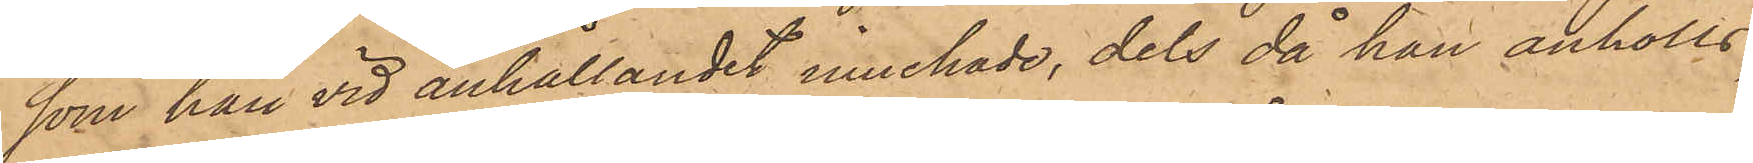som han vid anhållandet innehade, dels då han anhölls,
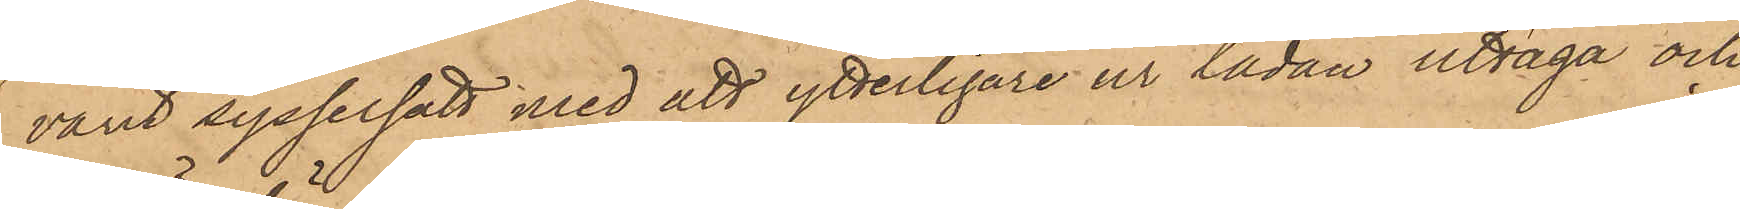varit sysselsatt med att ytterligare ur lådan uttaga och
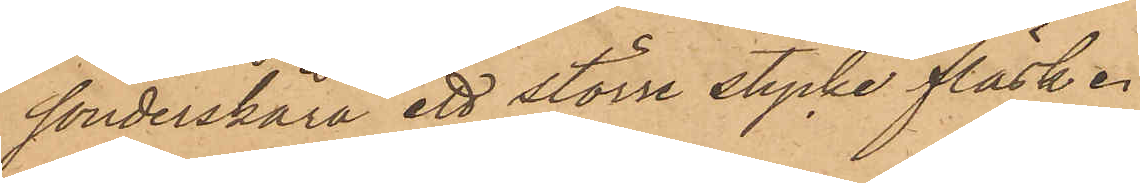sönderskära ett större stycke fläsk.
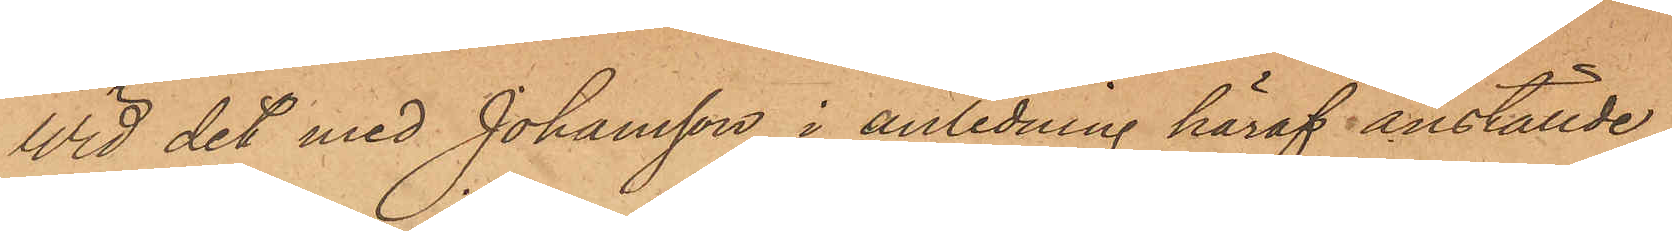Vid det med Johansson i anledning häraf anställde
